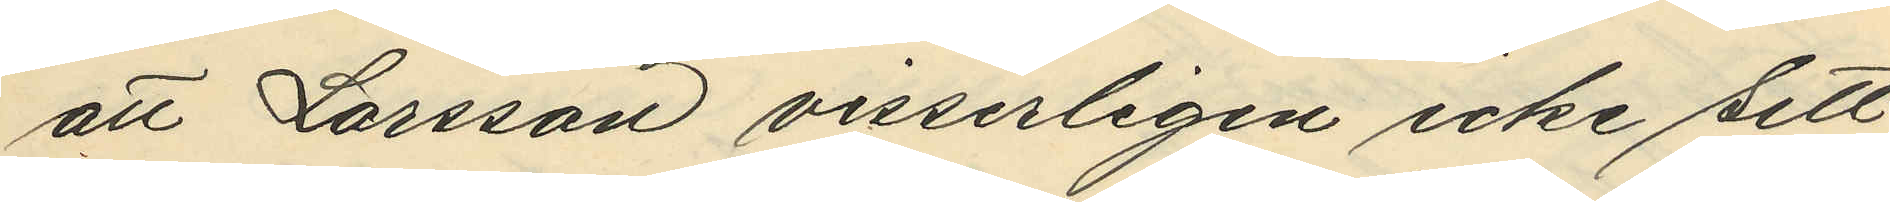att Larsson visserligen icke sett
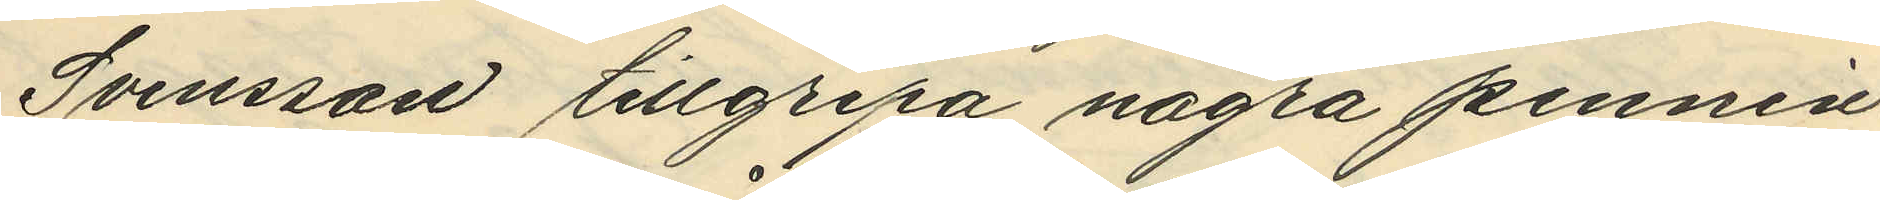Svensson tillgripa några pennin¬
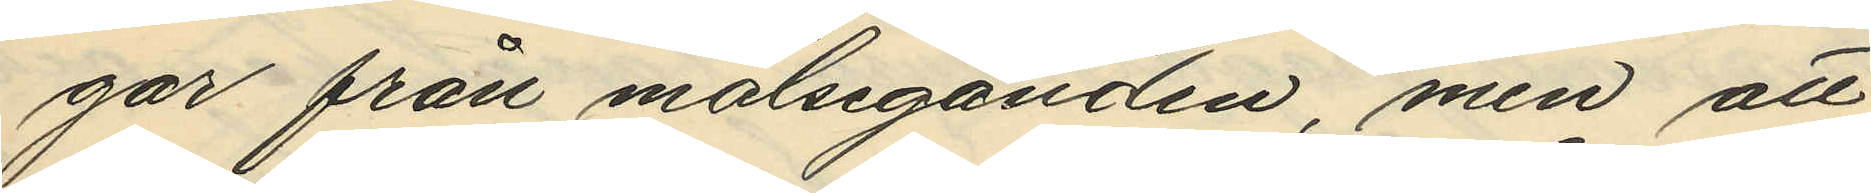gar från målseganden, men att
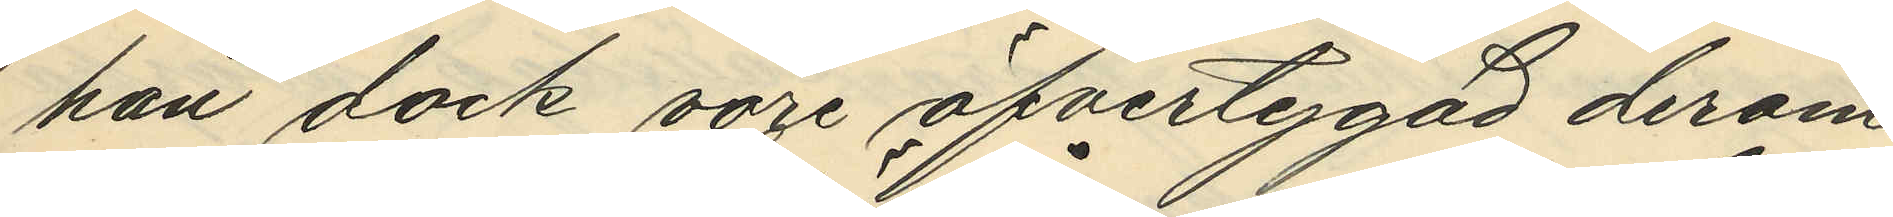han dock vore öfvertygad derom
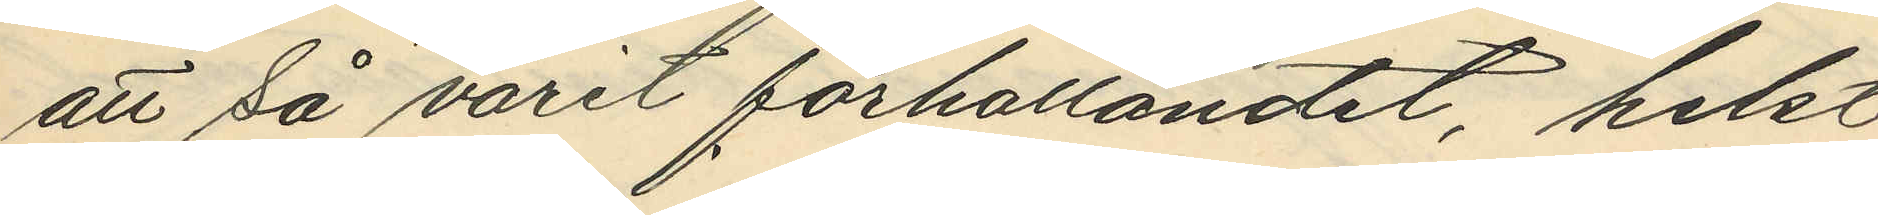att så varit förhållandet, helst
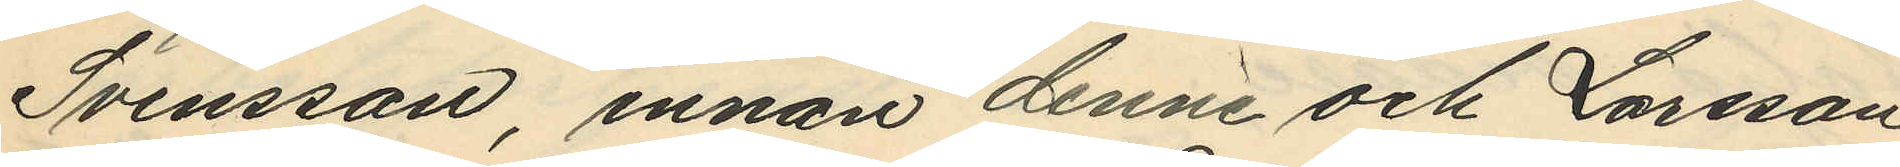Svensson, innan denne och Larsson
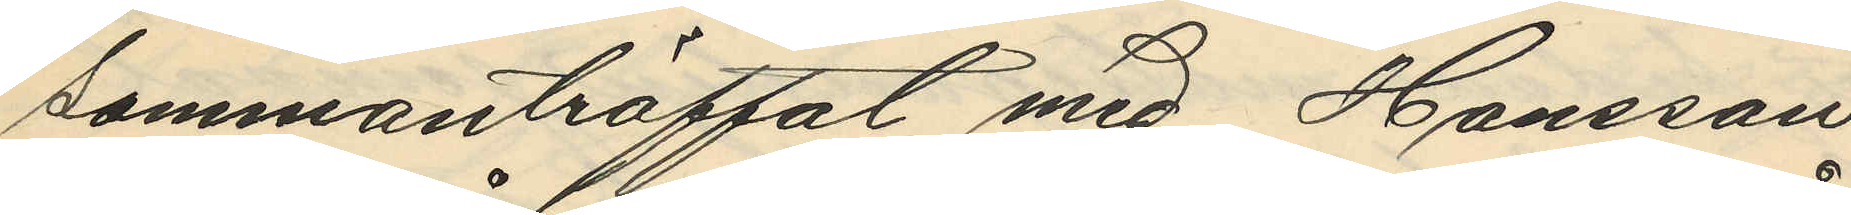sammanträffat med Hansson
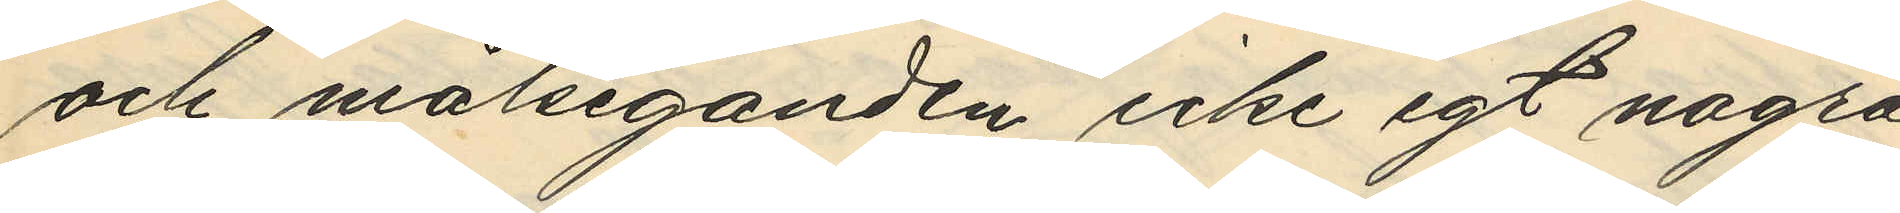och målseganden icke egt några
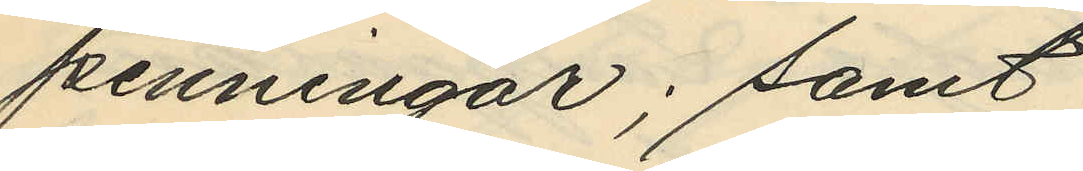penningar; samt
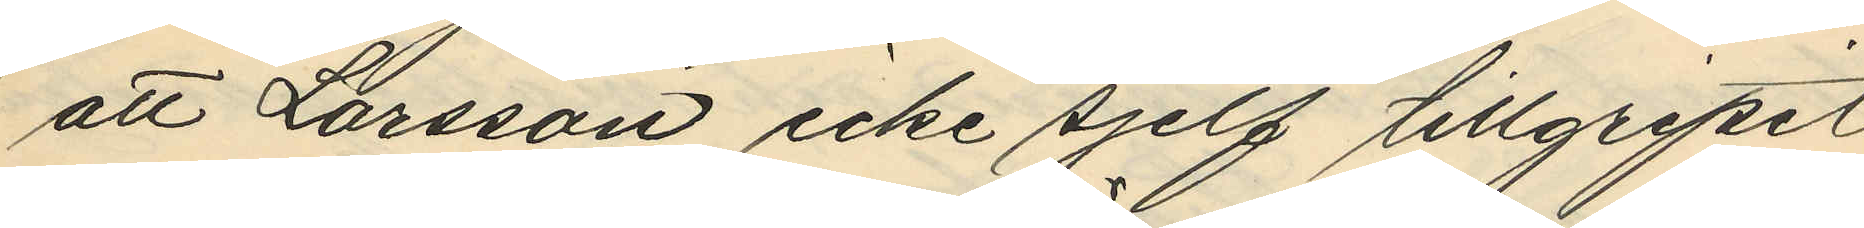att Larsson icke sjelf tillgripit
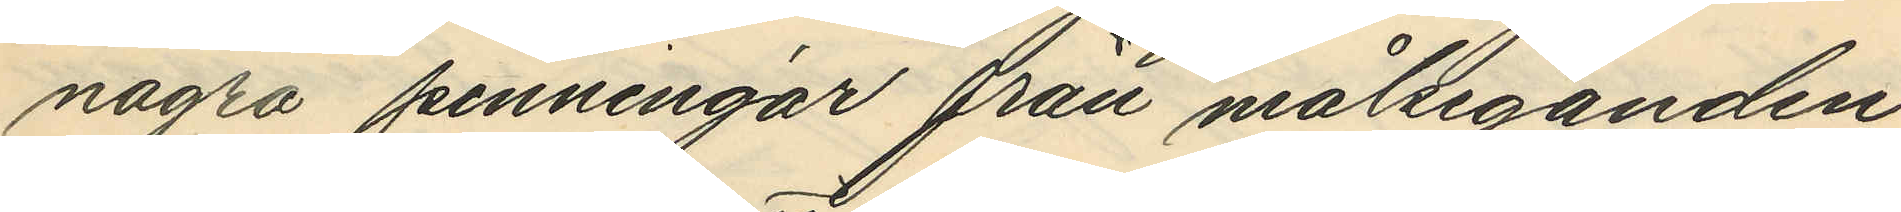några penningar från målseganden
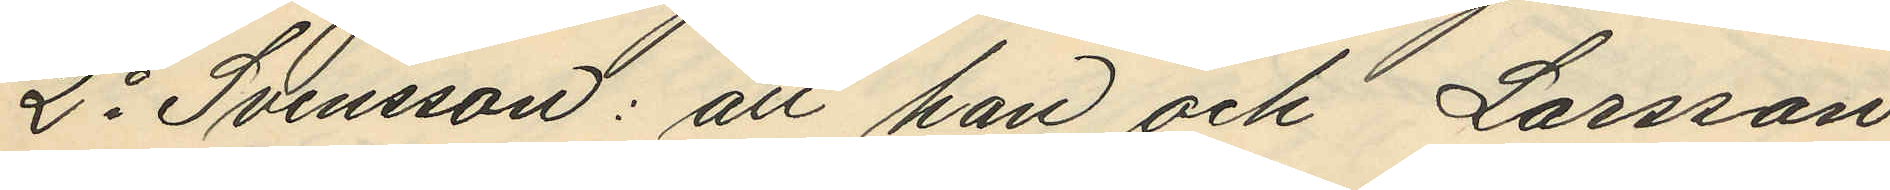2o Svensson: att han och Larsson
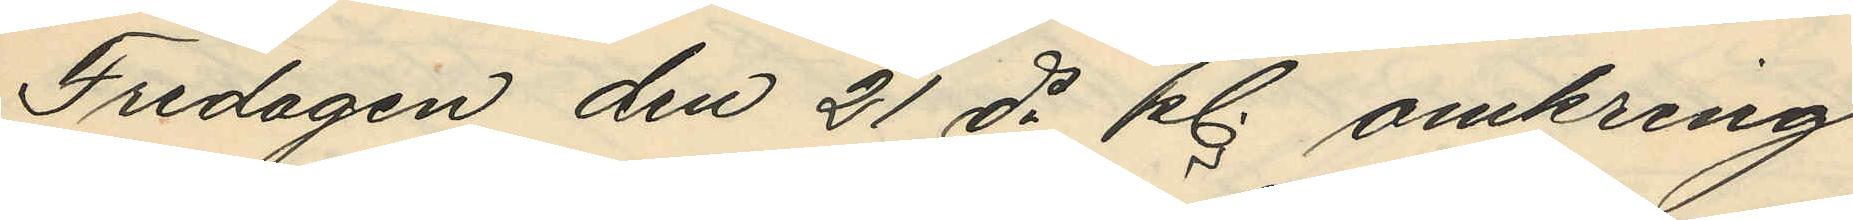Fredagen den 21 ds kl. omkring
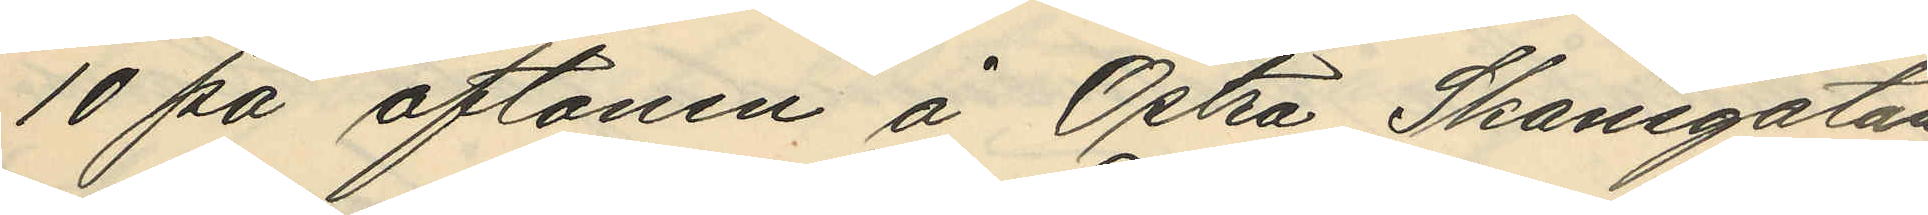10 på aftonen å Östra Skansgatan
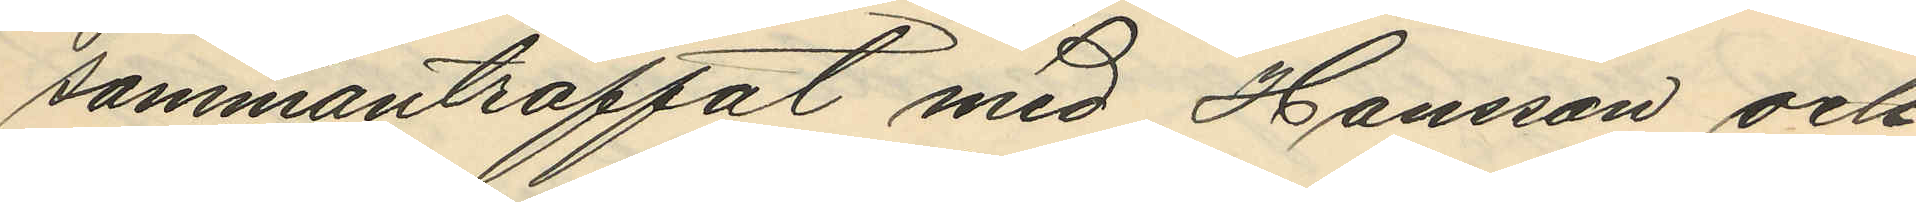sammanträffat med Hansson och
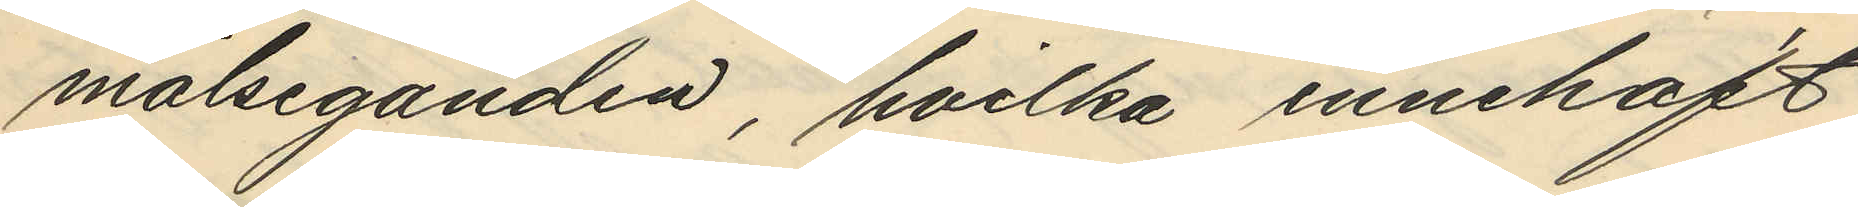målseganden, hvilka innehaft
